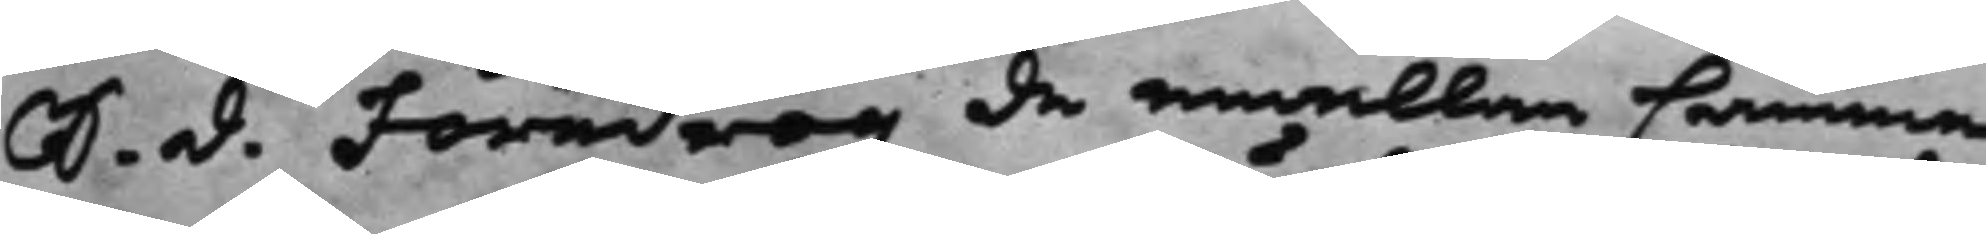S. d. Föredrogz de emellan Camme¬
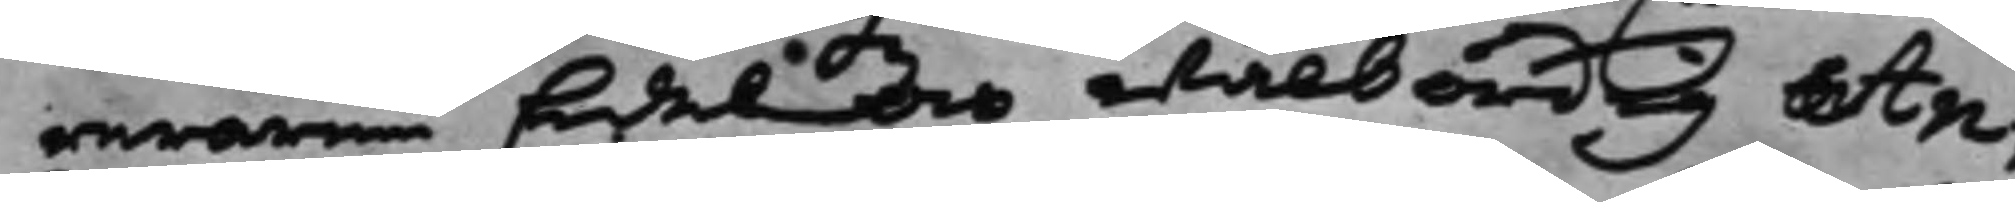reraren Edel och wälbördig An¬
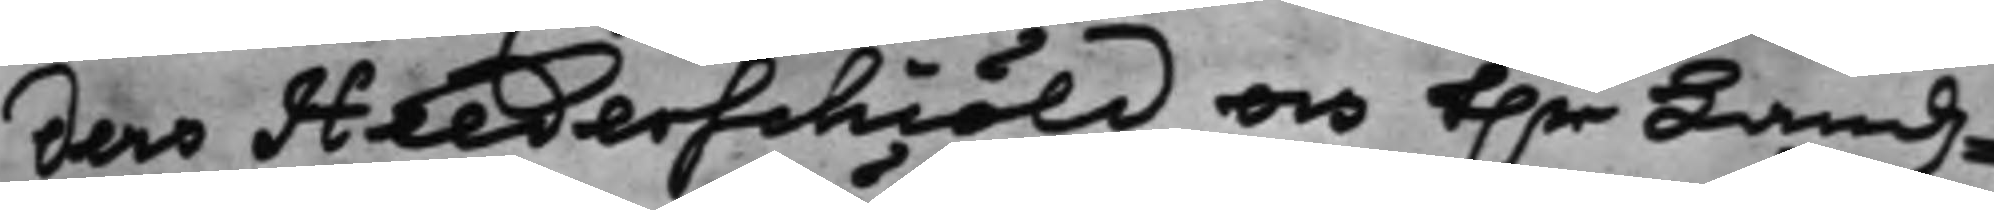ders Heederschiöld och h.r Landz¬
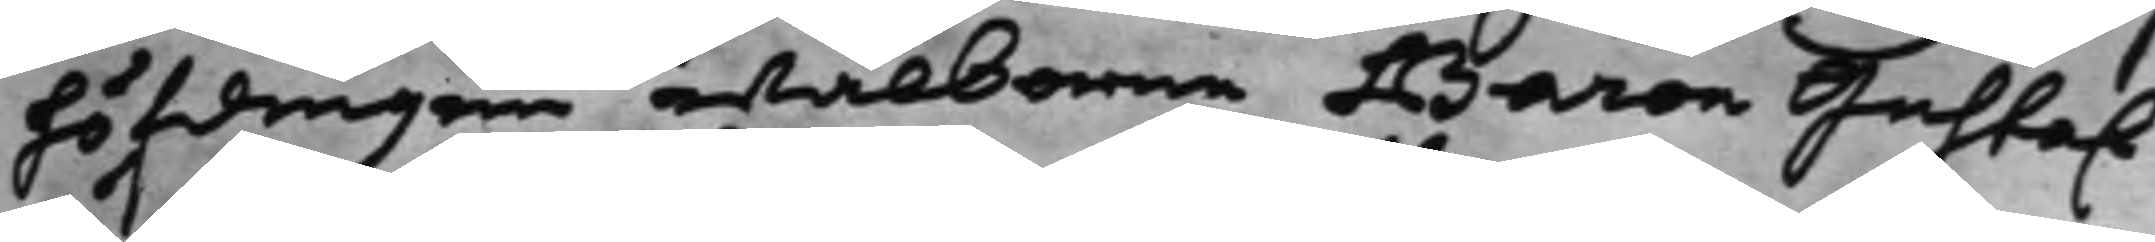höfdingen wälborne Baron Gustaf
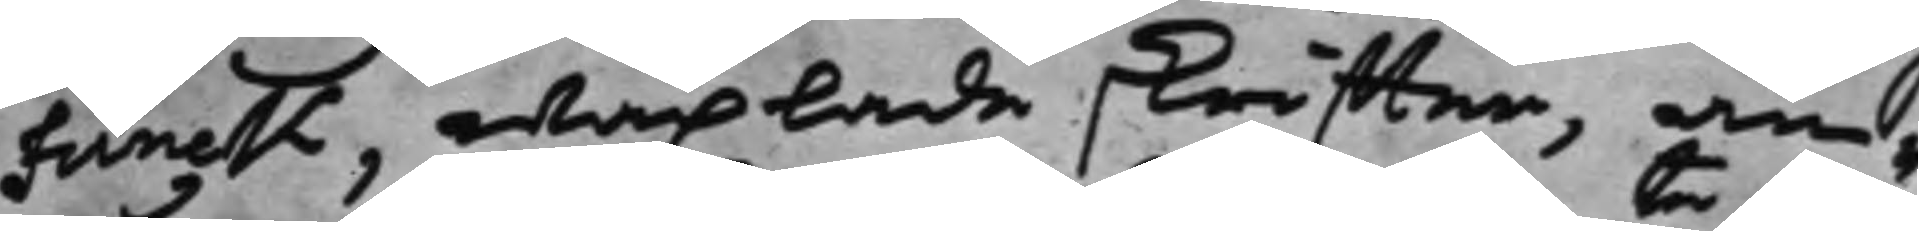Funck, wäxlade skriffter, an¬
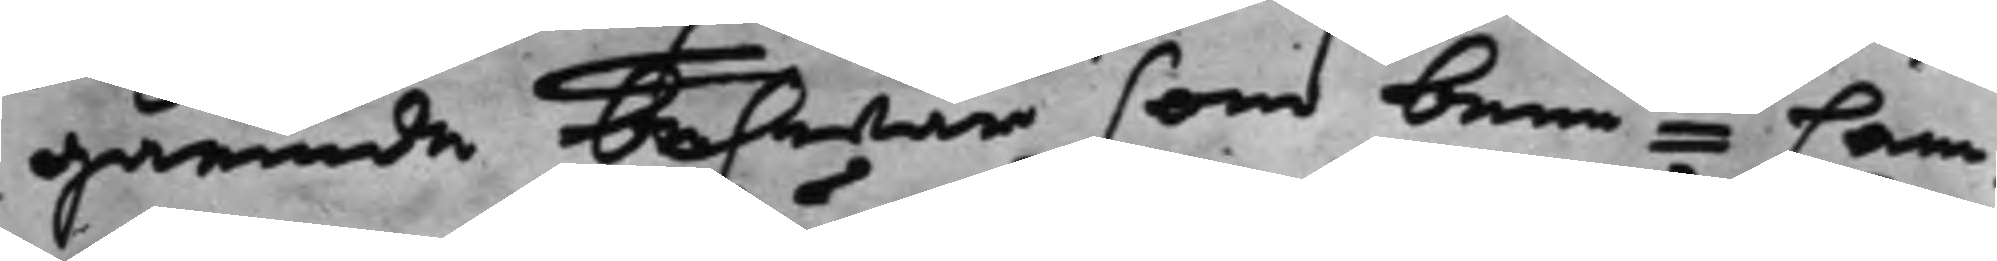gående beswär som bemte Cam¬
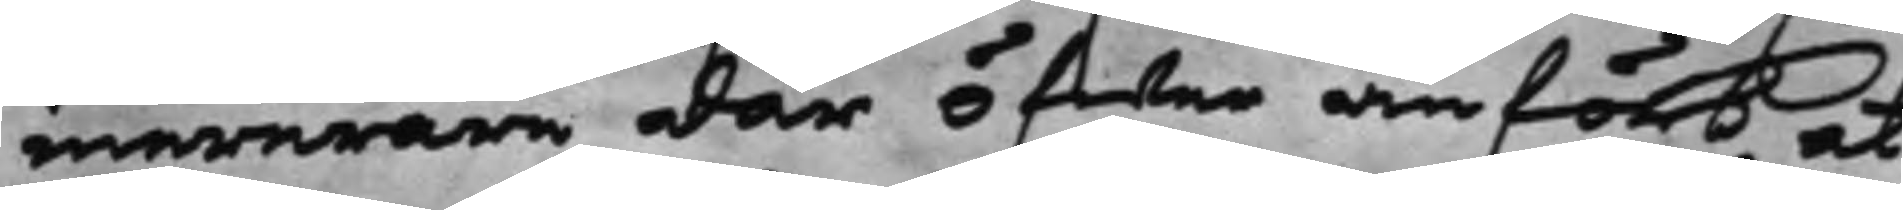mererare där öfwer anfört at
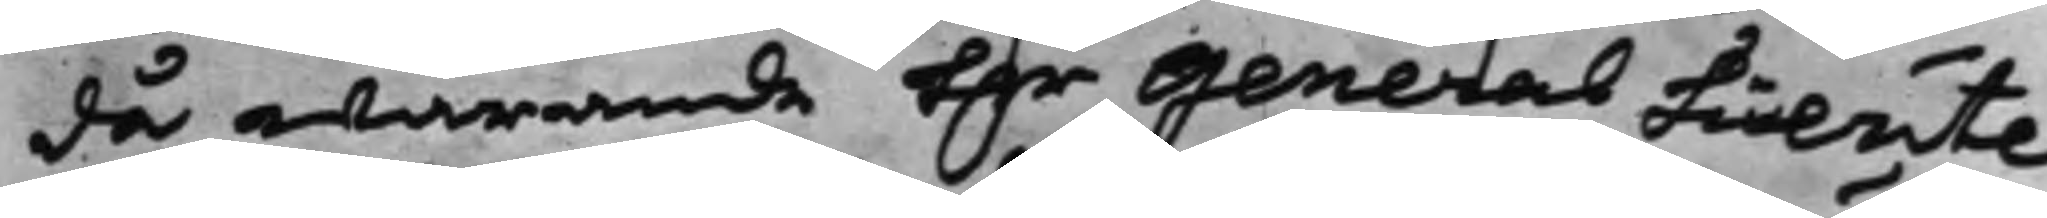då warande H.r General Lieute¬
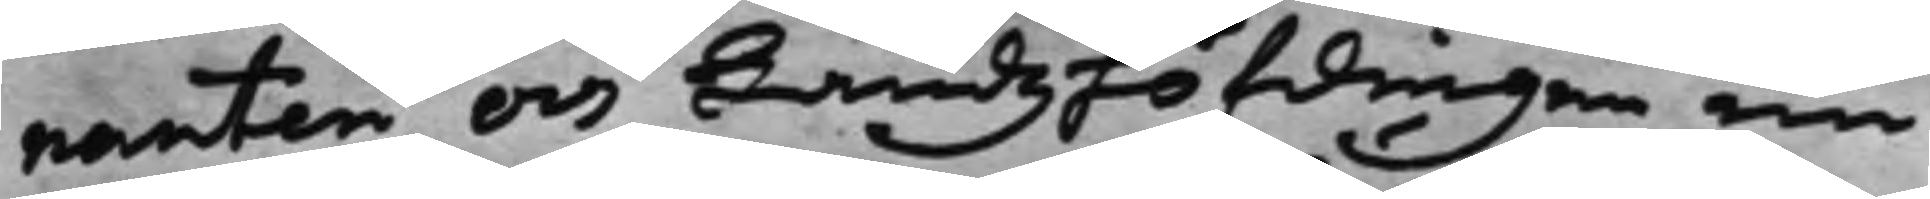nanten och Landzhöfdingen nu
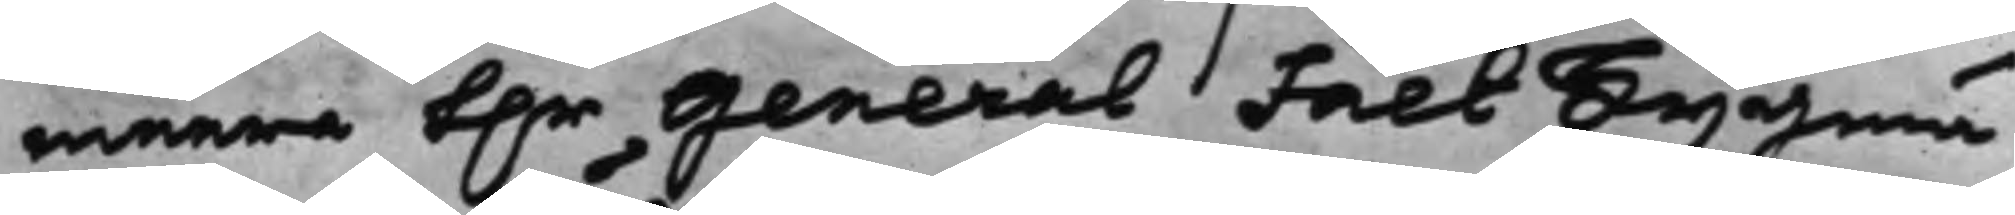meera h.r General Fält Tygmä¬
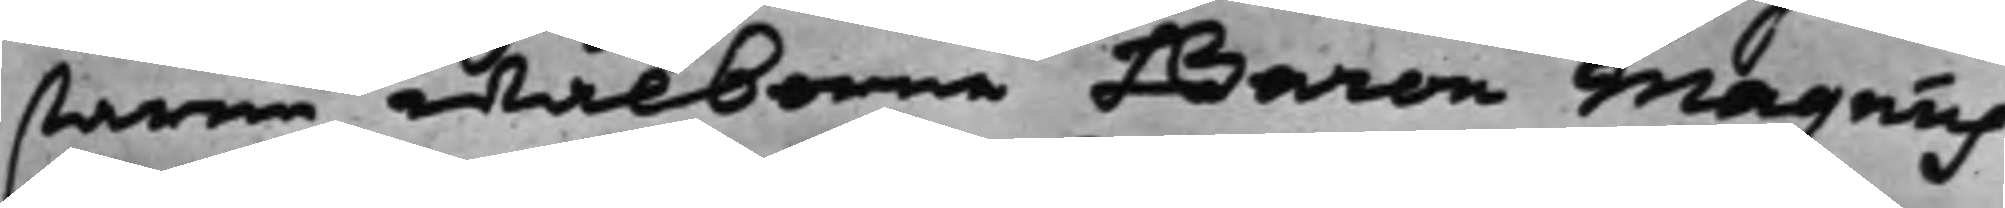staren wälborne Baron Magnus
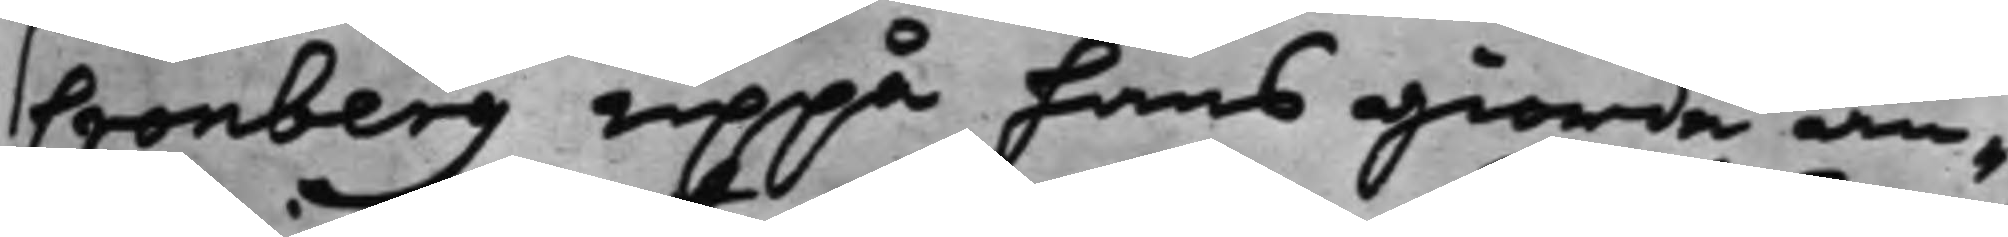Cronberg uppå hans giorde an¬
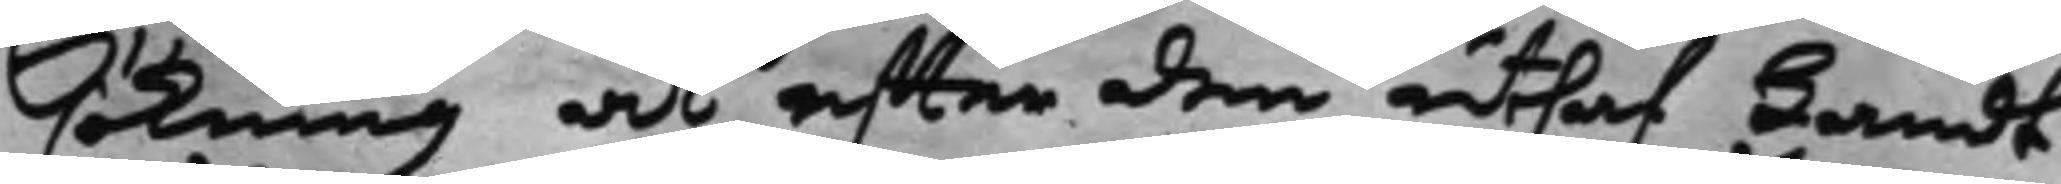sökning at effter den uthaf Landt¬
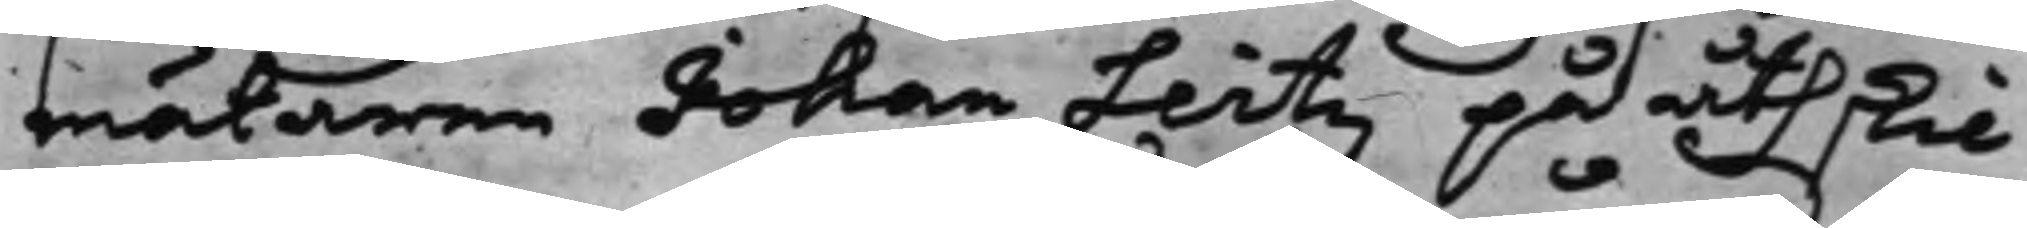mätaren Johan Leitz på åthskil¬
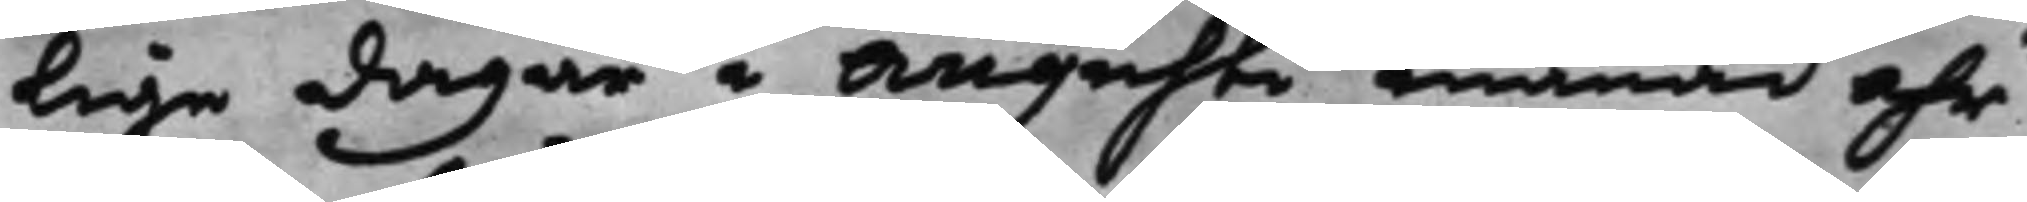lige dagar i Augusti månad åhr
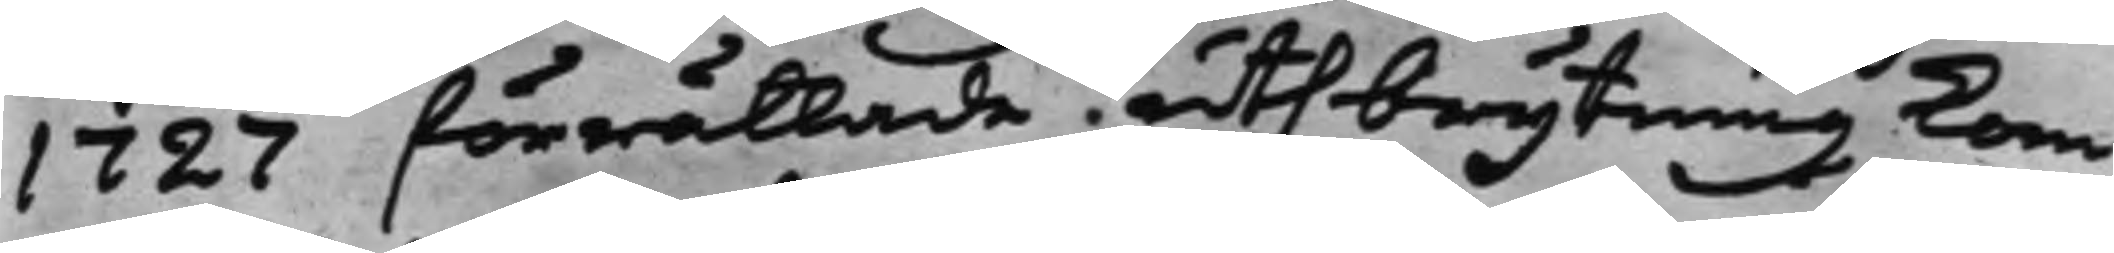1727 förrättade, uthbrytning kom¬
